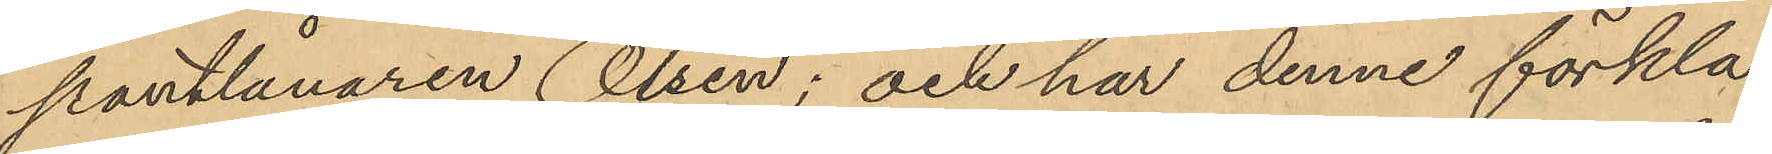pantlånaren Olsen; och har denne förkla¬
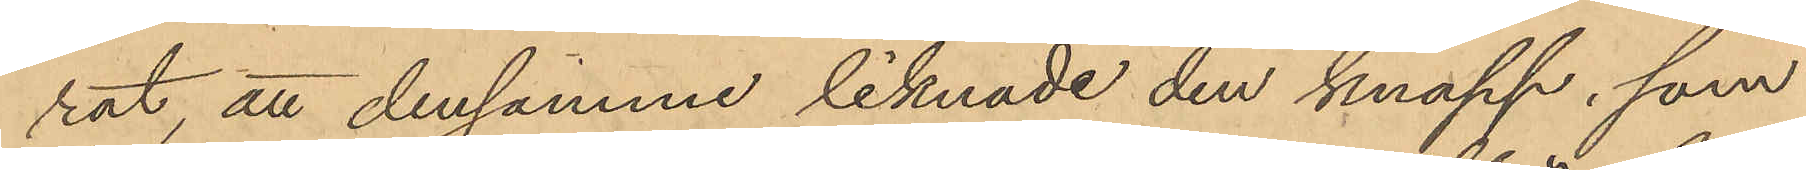rat, att densamma liknade den knapp, som
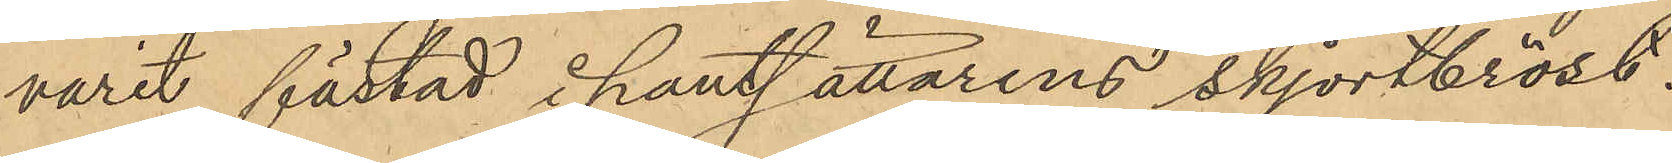varit fästad i pantsättarens skjortbröst.
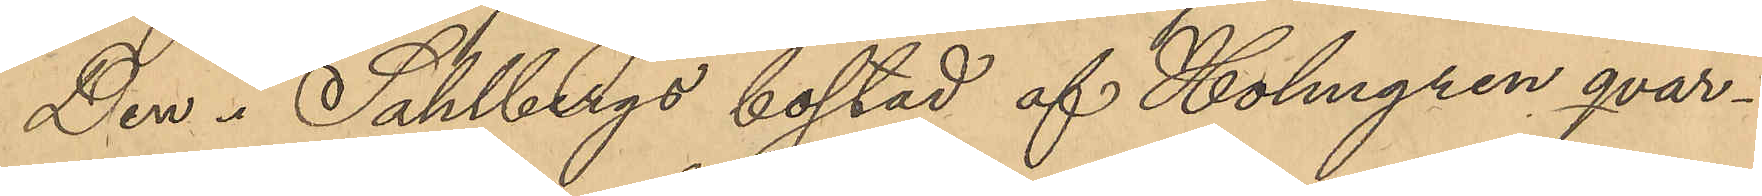Den i Sahlbergs bostad af Holmgren qvar¬
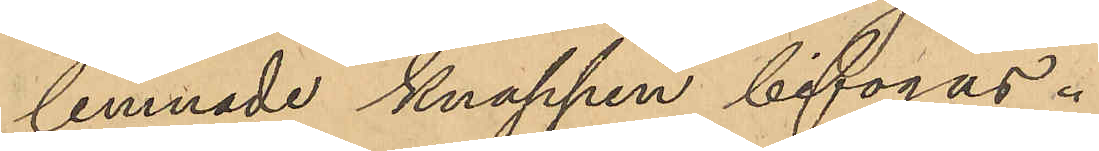lemnade knappen bifogas.
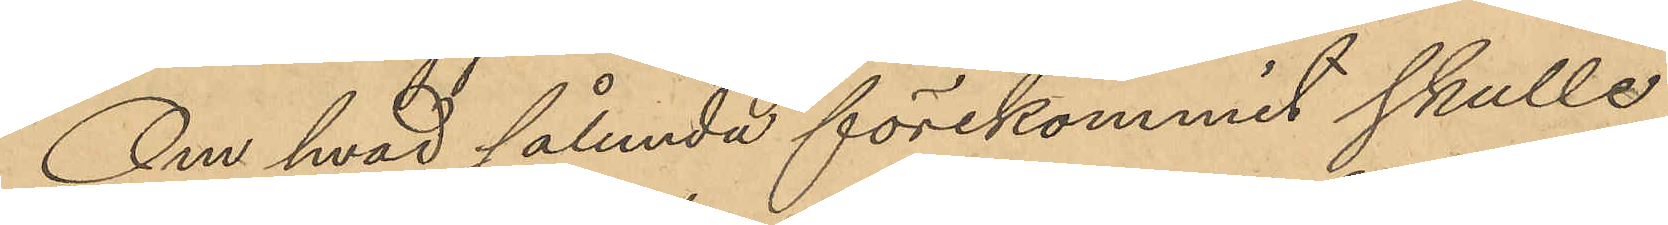Om hvad sålunda förekommit skulle
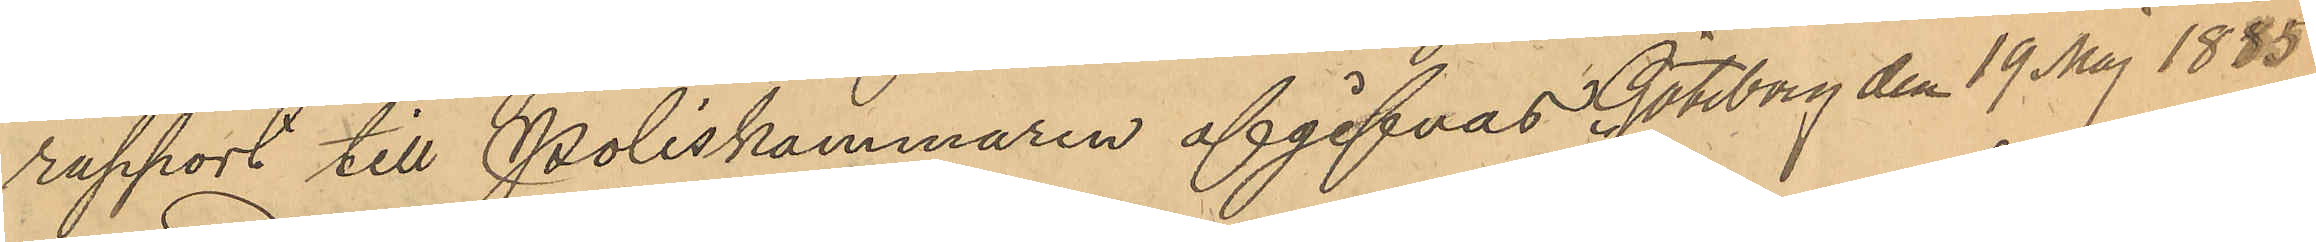rapport till Poliskammaren afgifvas Göteborg den 19 Maj 1885.
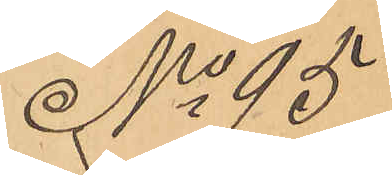No 95
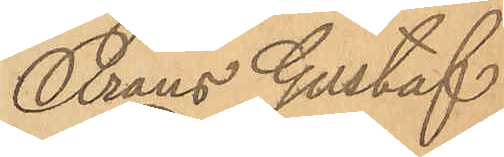Frans Gustaf
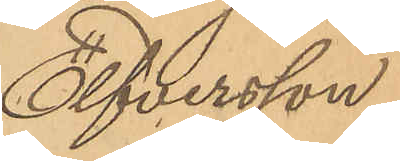Elfversson
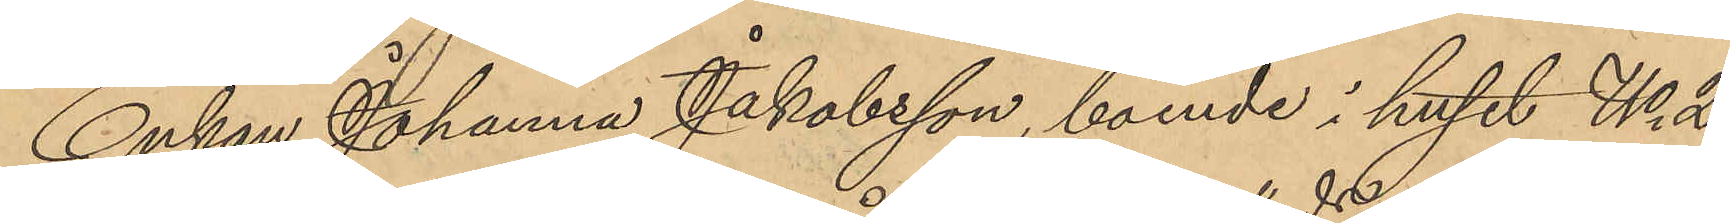Enkan Johanna Jakobsson, boende i huset No 2
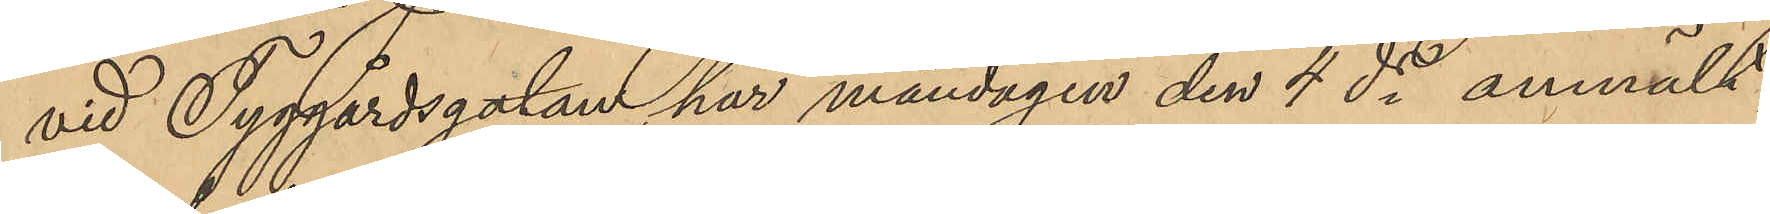vid Tyggårdsgatan, har måndagen den 4 ds anmält,
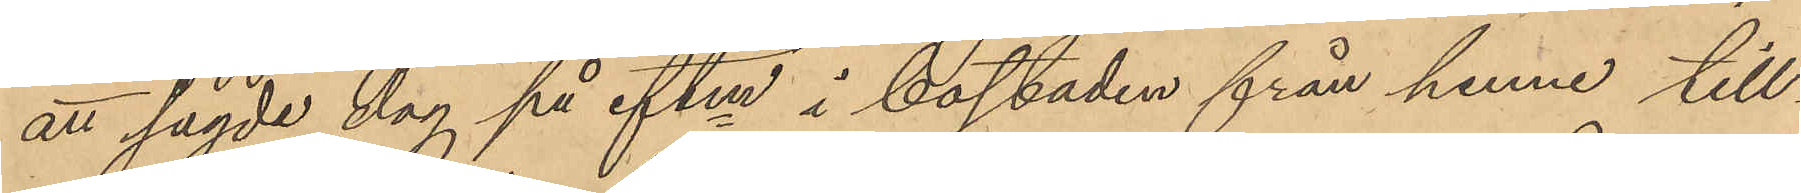att sagde dag på eftm i bostaden från henne till¬
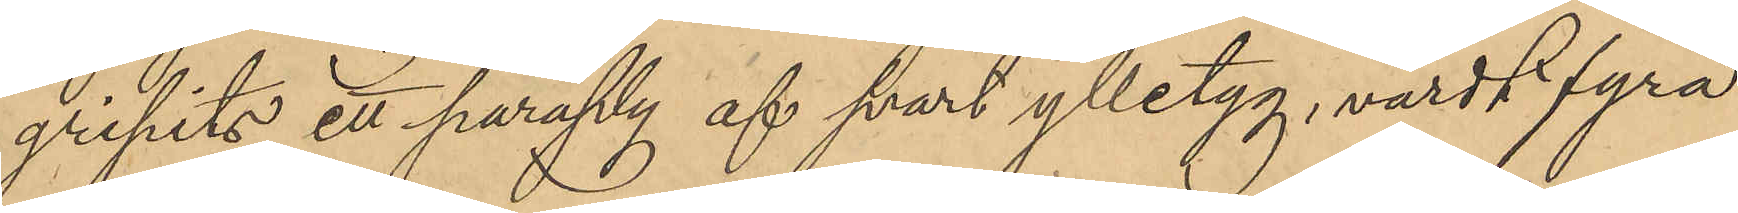gripits ett paraply af svart ylletyg, värdt fyra
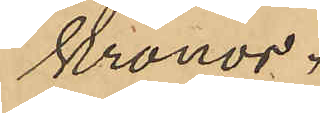Kronor.
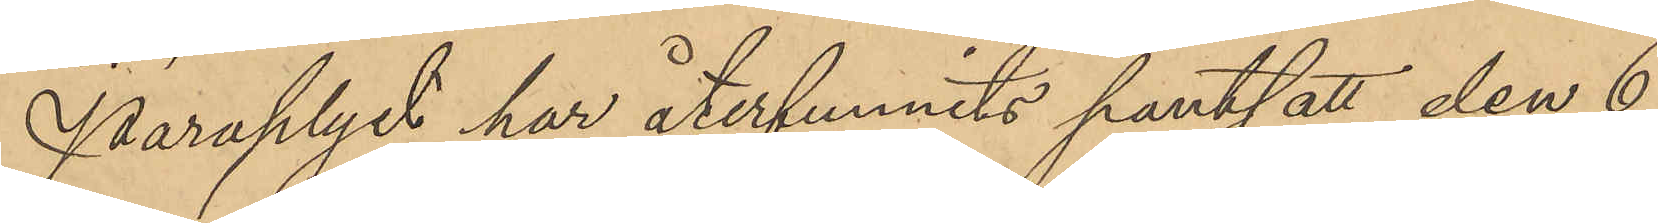Paraplyet har återfunnits pantsatt den 6
